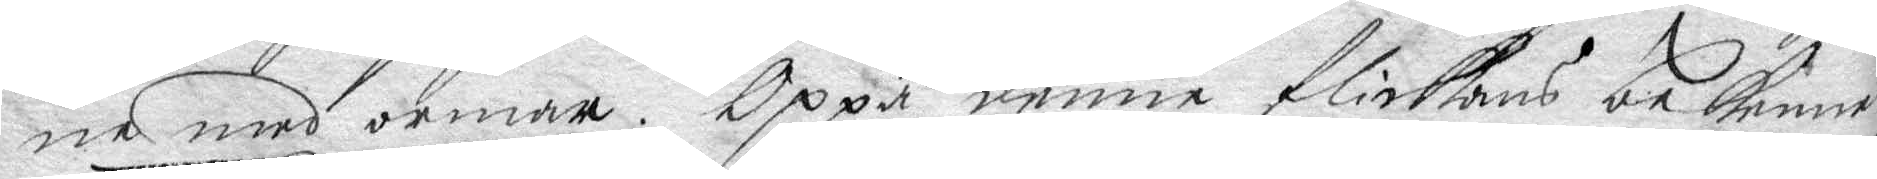ne med ormar. Oppå denne flickans bekenna
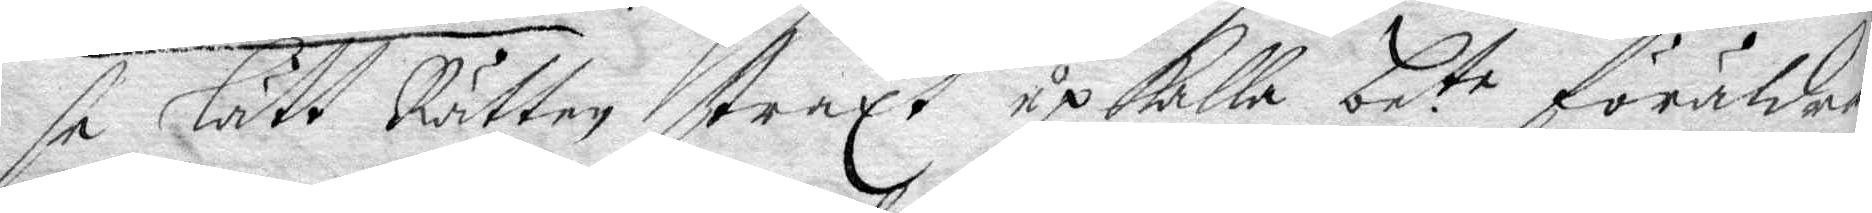så lätt Rätten straxt upkalla be.te föräldrar 
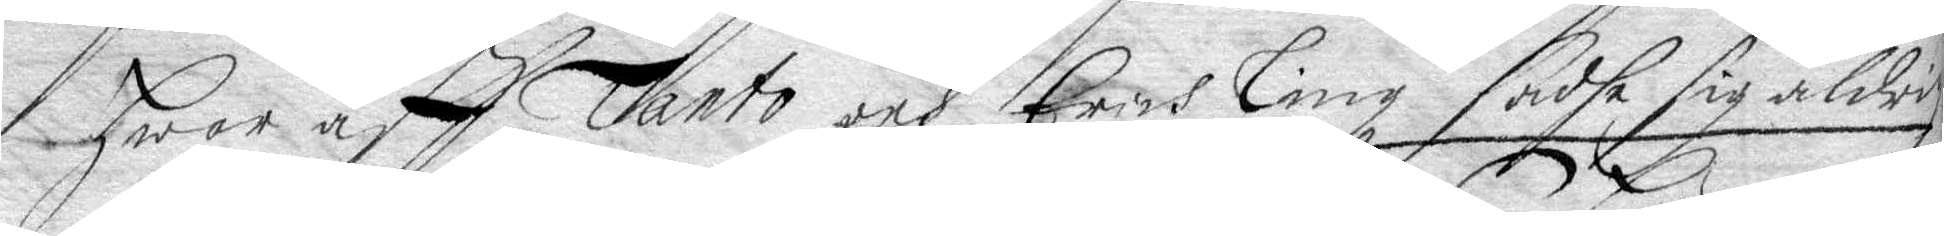war aff Tanto och Erich Ling sadhe sig aldrig
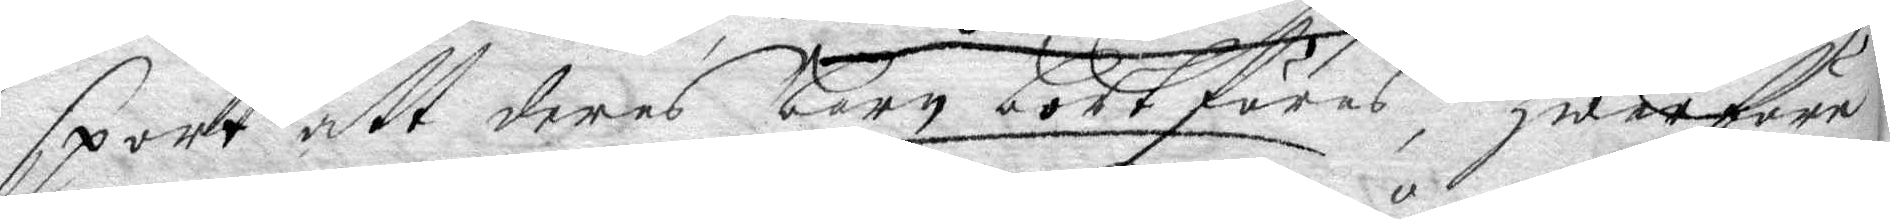sport att deras barn bortföres, Hwarföre
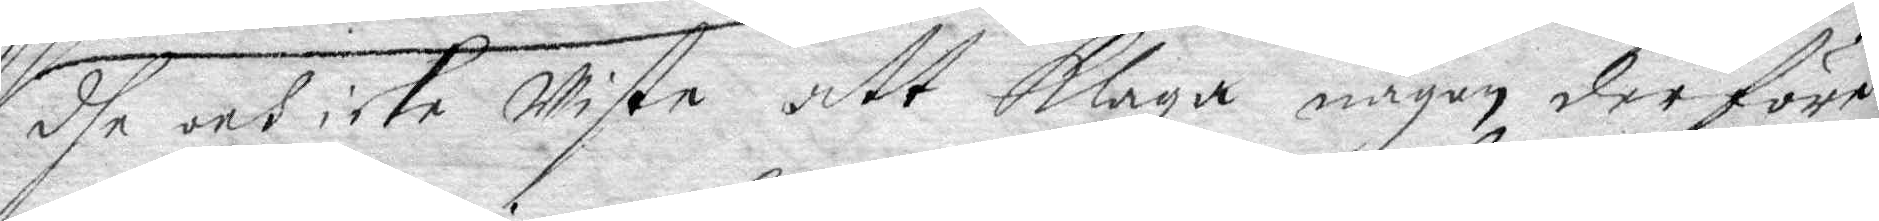dhe och icke wiste att klaga någon derföre
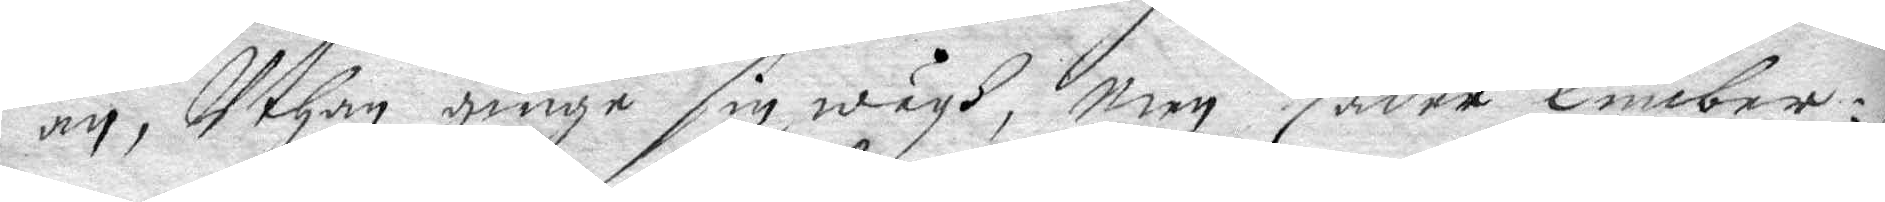än, Uthan ginge sin wägh, men Zader Timber¬
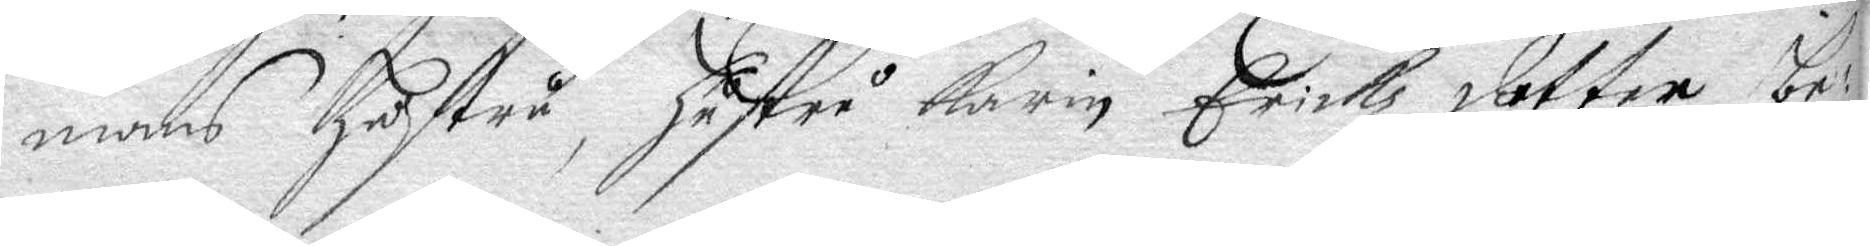mans hustru, hustru Karin Erickz dotter be¬
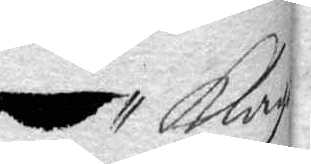kla¬
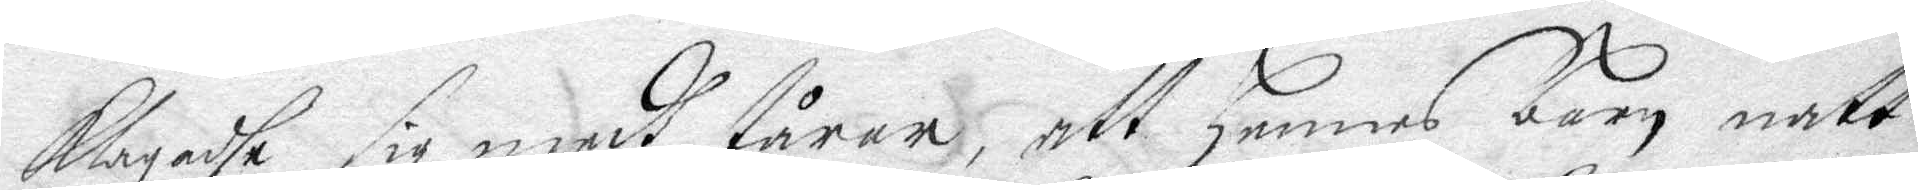klagadhe sig medh tårar, att hennes barn natt
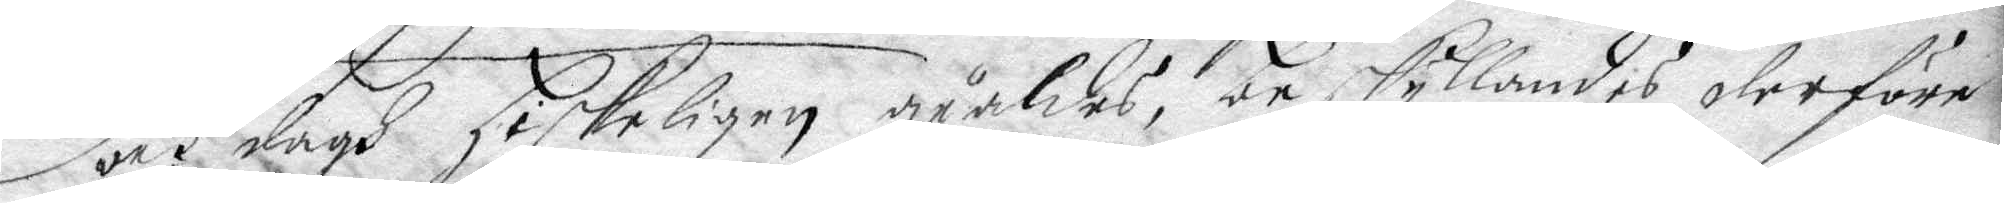och dagh hiskeligen giäldes, beskyllandes derföre
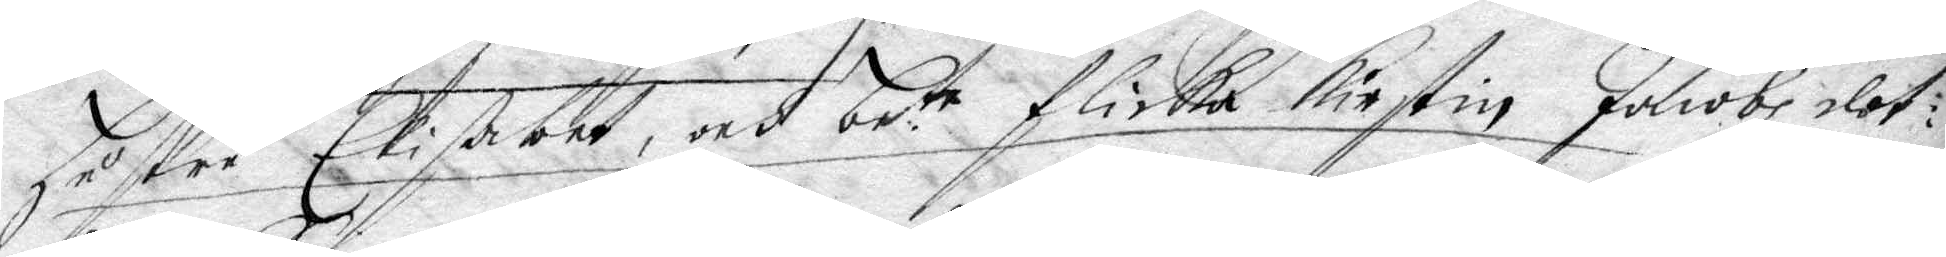hustru Elisabet och be.te flicka Kirstin Jacobsdot¬ 
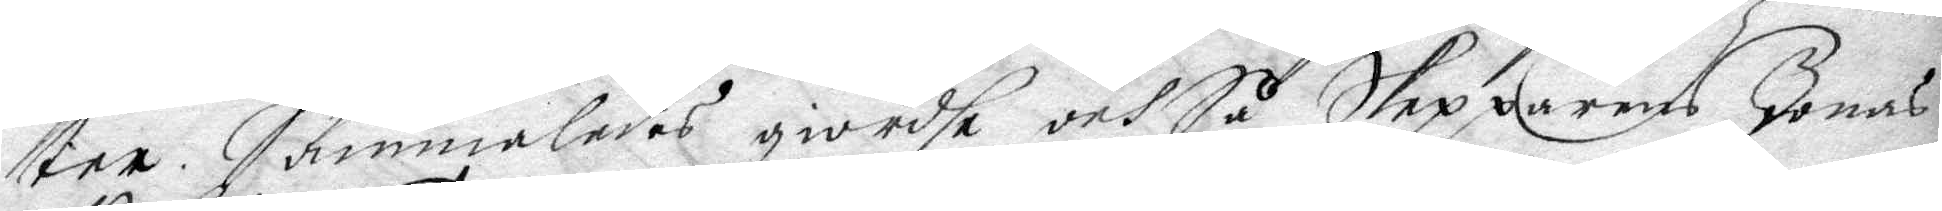ter. Sammaledes giordhe och Så Skepparens Jonas
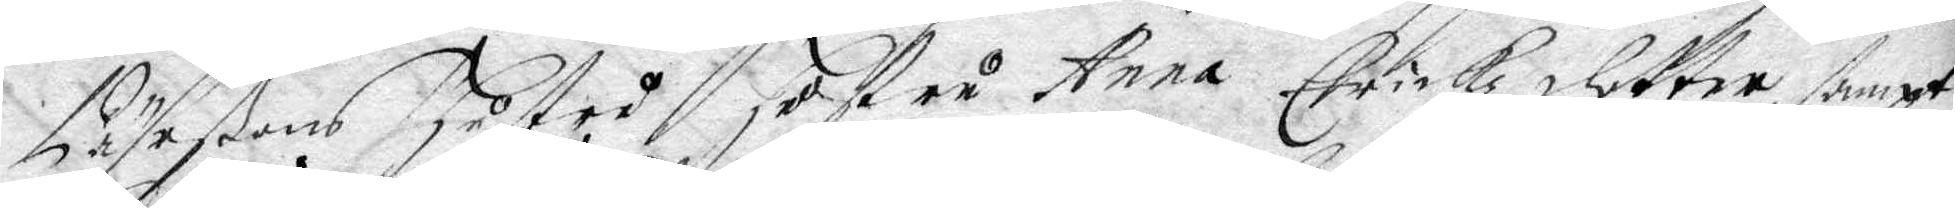Pährßons hustru Hustru Anna Erickz dotter sampt
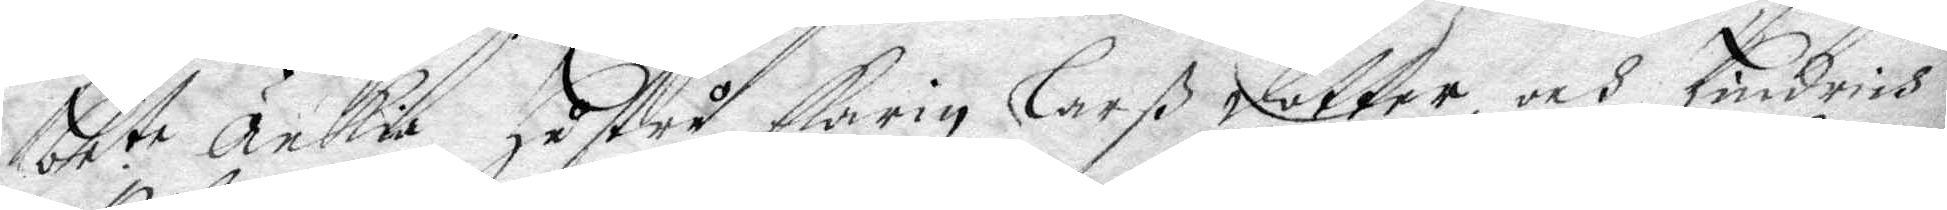bete änkia Hustru Karin Larß dotter, och Hindrich
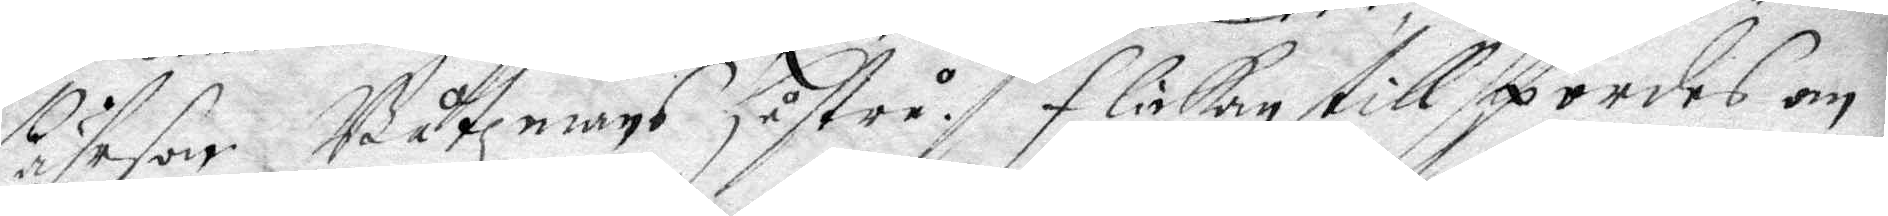Pährson Båtzmans hustru, Flickan tillspordes om
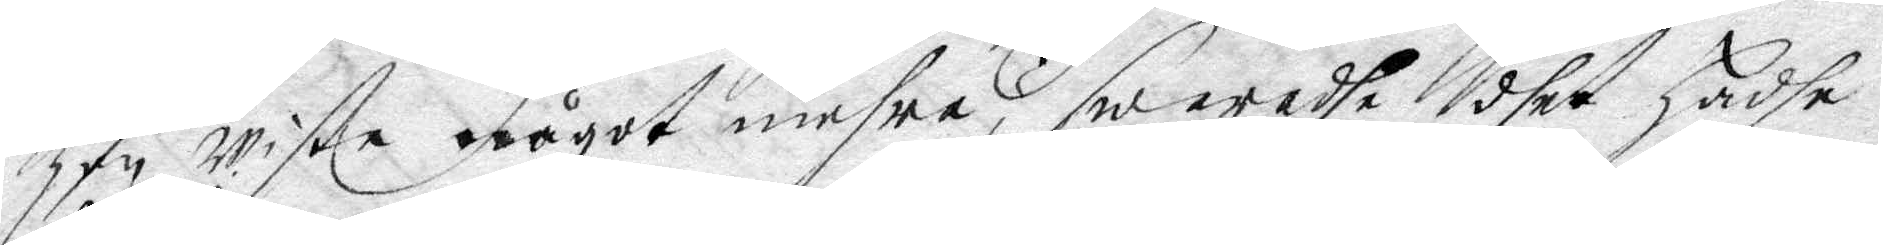hon wiste något mehra, swaradhe dhet hadhe
